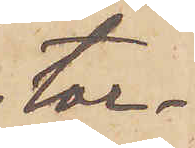tor¬
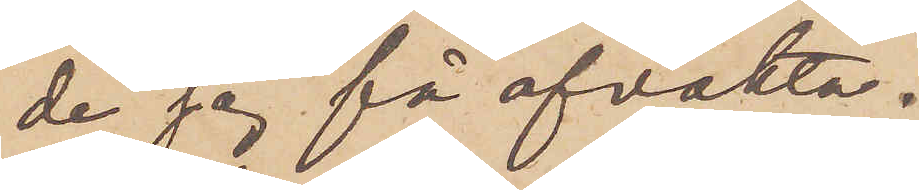de jag få afvakta.
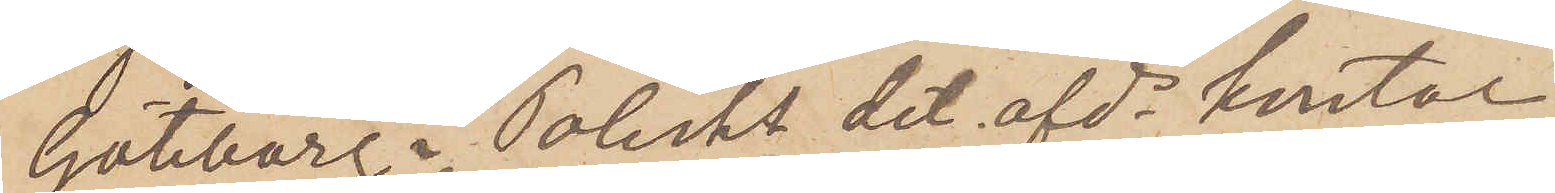Göteborg i Polisks det. afds kontor
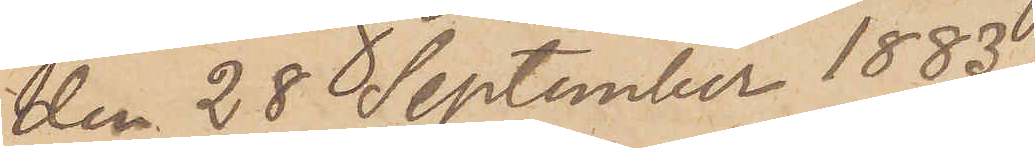den 28 September 1883
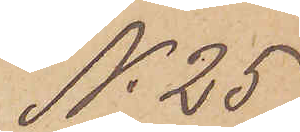No 25
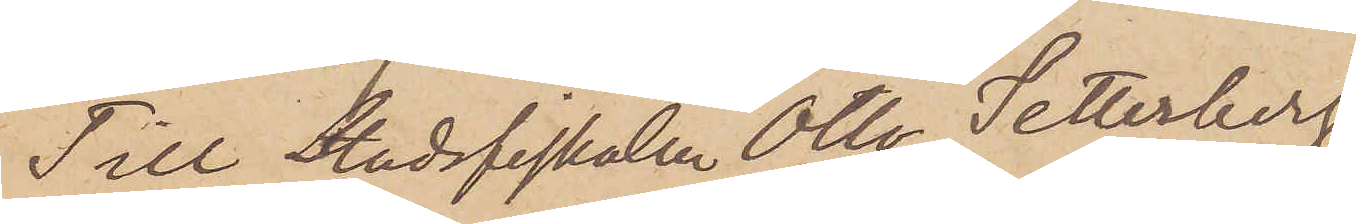Till Stadsfiskalen Otto Setterberg
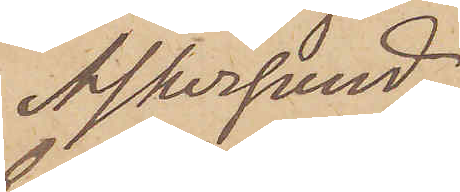Askersund.
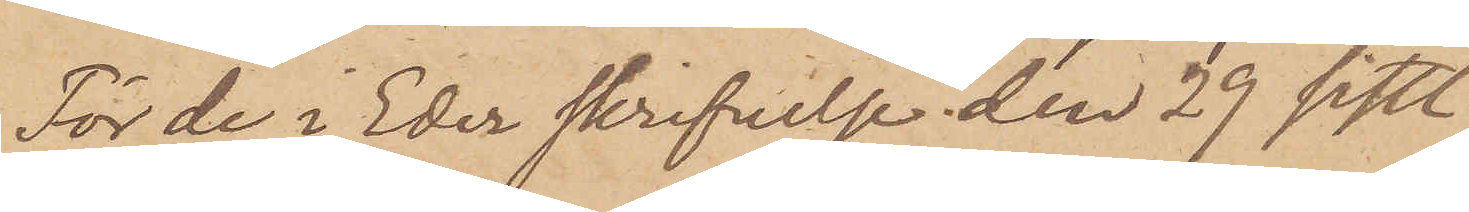För de i Eder skrifvelse den 29 sistl.
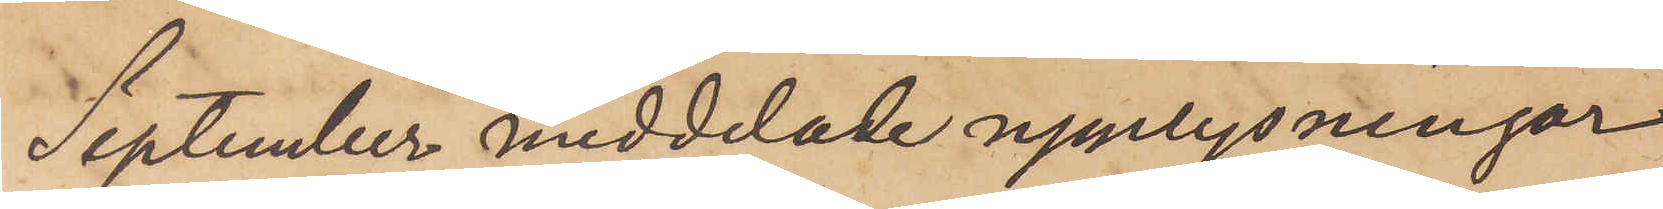September meddelade upplysningar
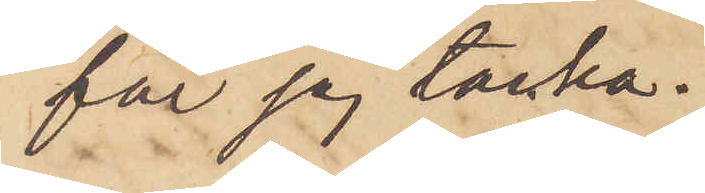får jag tacka.
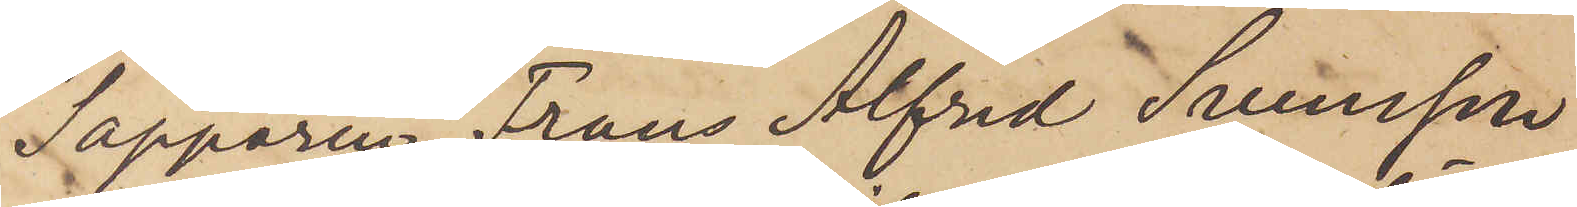Sappören Frans Alfred Svensson
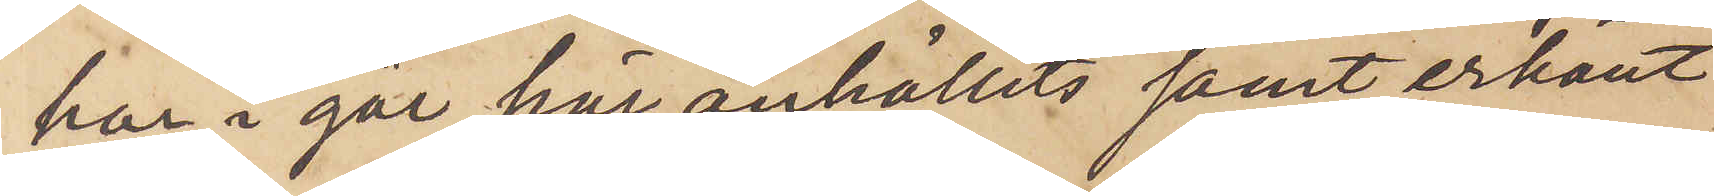har i går här anhållits samt erkänt
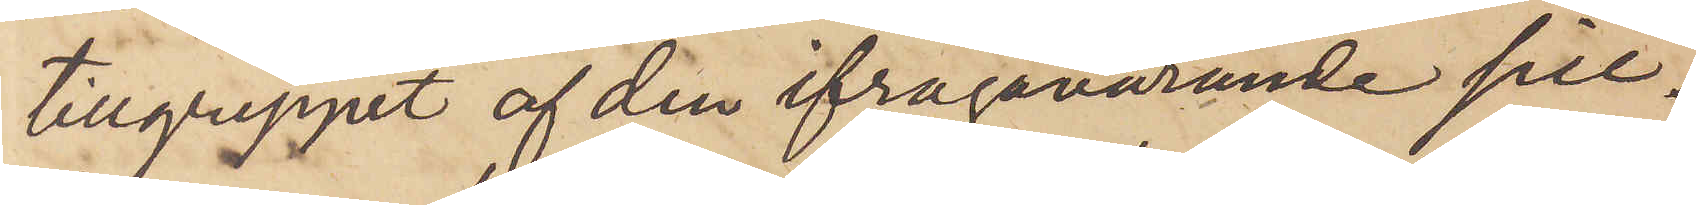tillgreppet af den ifrågavarande sill¬
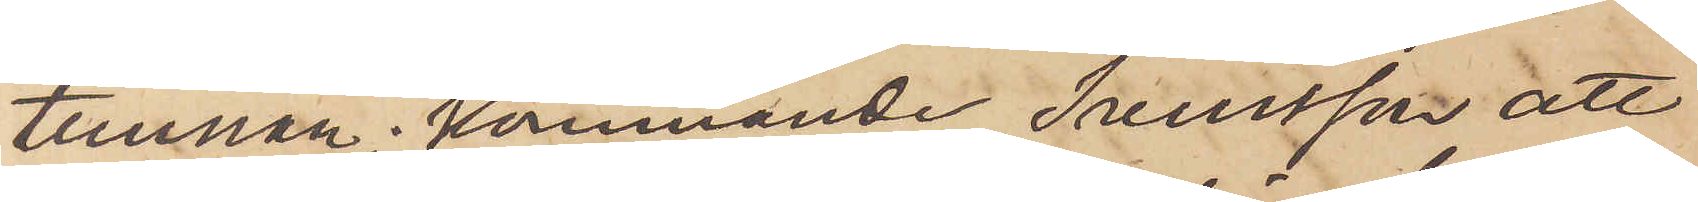tunnan; kommande Svensson att
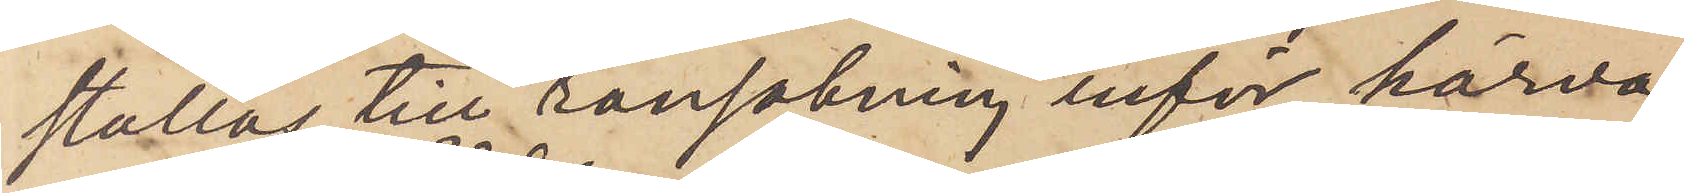ställas till ransakning inför härva¬
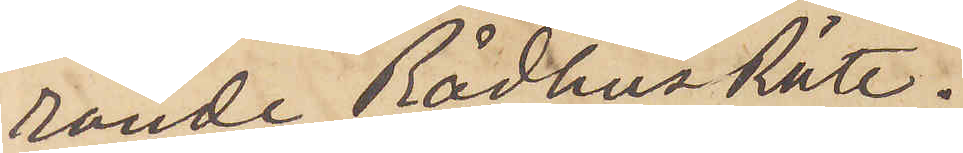rande Rådhus Rätt.
